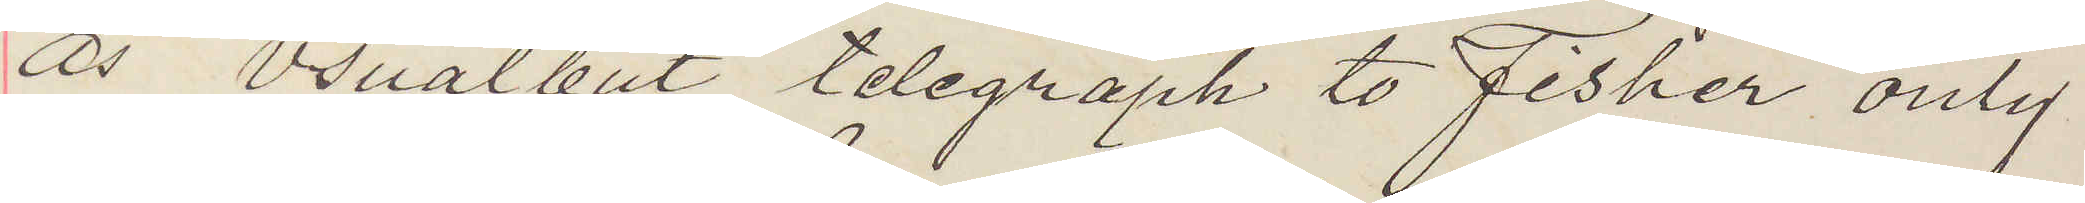as usual but telegraph to Fisher only
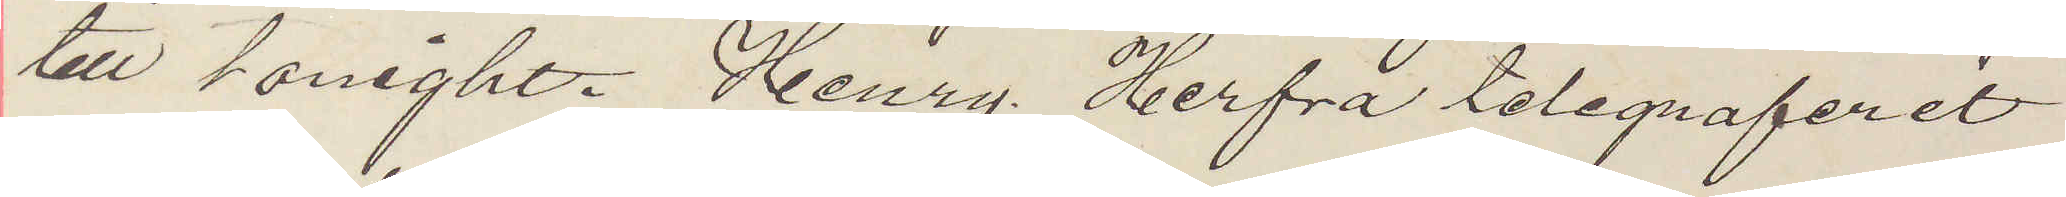till tonight. Henry. Herfra telegraferet
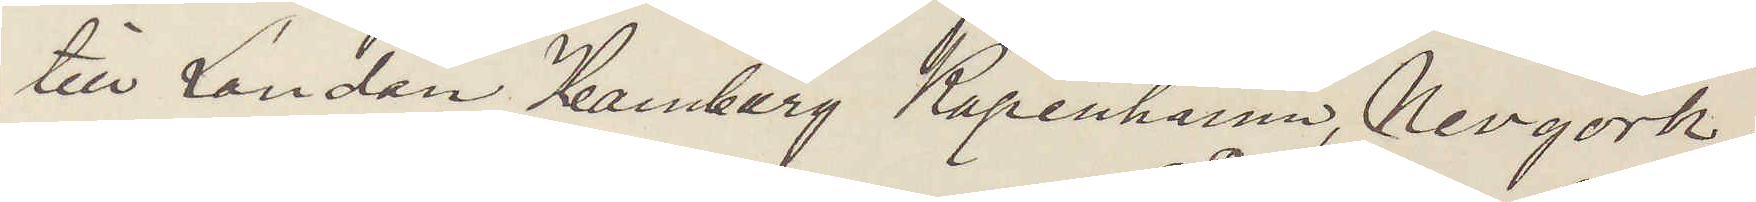till London Hamburg Köpenhamn, Nevyork.
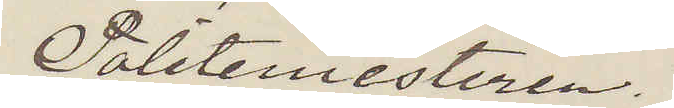Politimesteren.
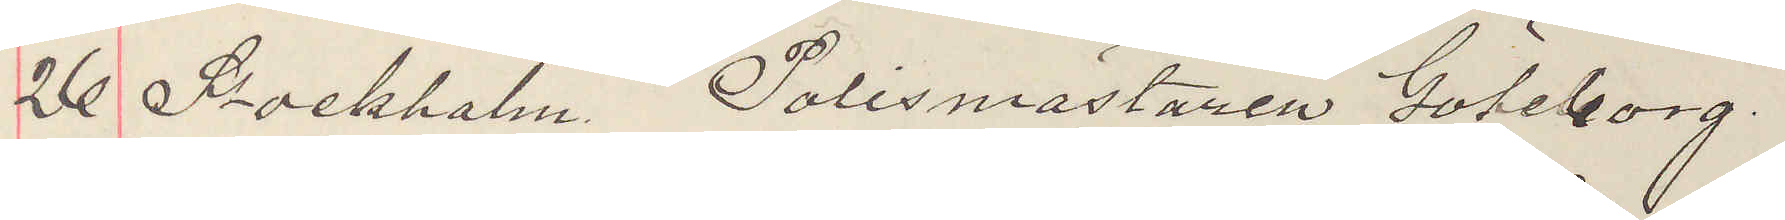26 Stockholm. Polismästaren Göteborg.
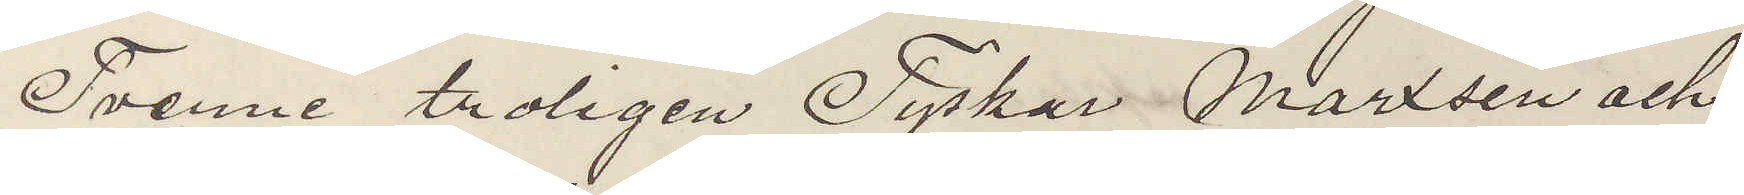Tvenne troligen Tyskar Marxsen och
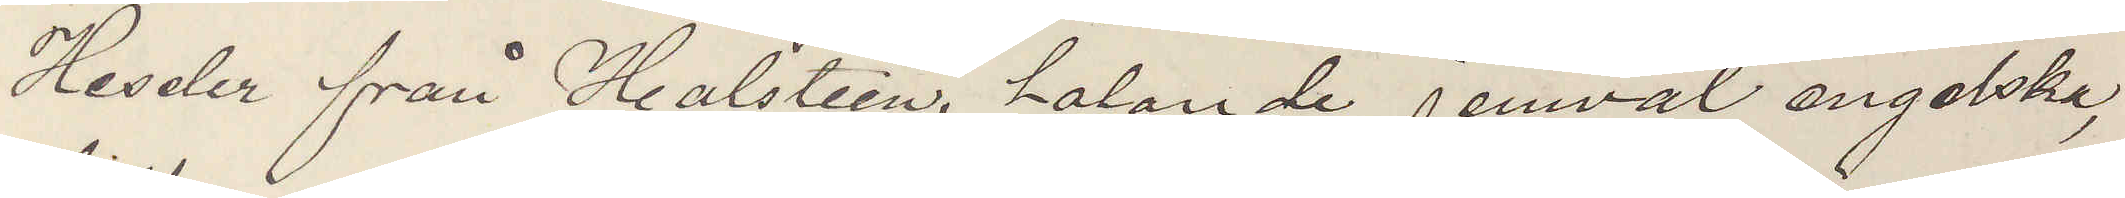Heseler från Holstein, talande jemväl engelska,
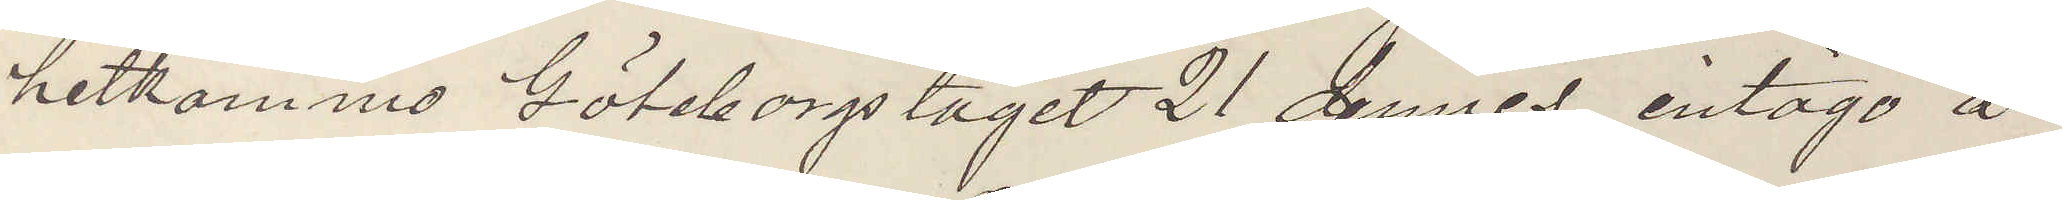hitkommo Göteborgståget 21 dennes, intogo å
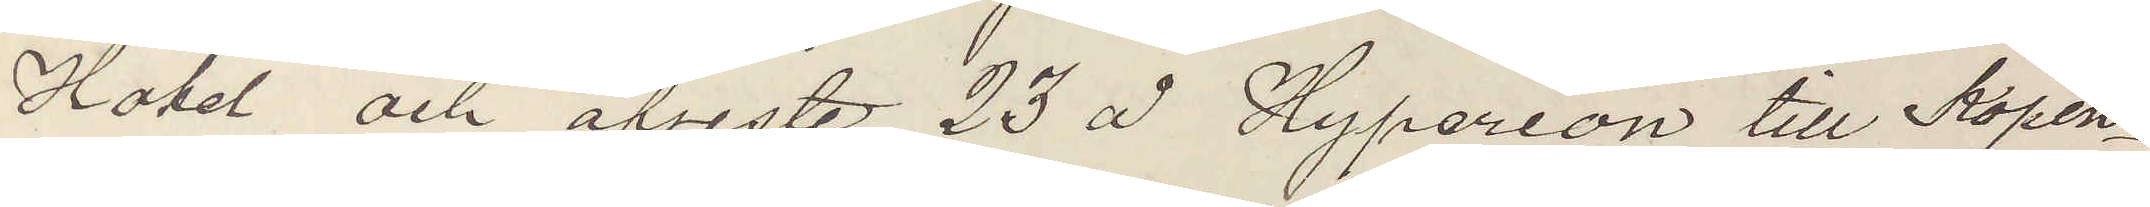Hotel och afreste 23 å Hyperion till Köpen¬
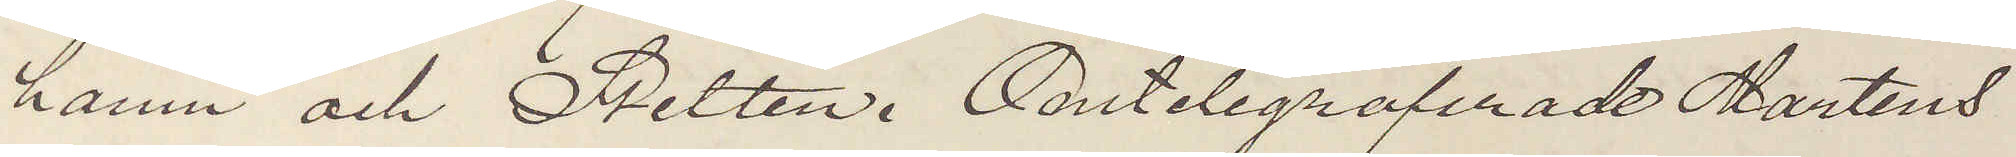hamn och Stettin. Omtelegraferade Martens
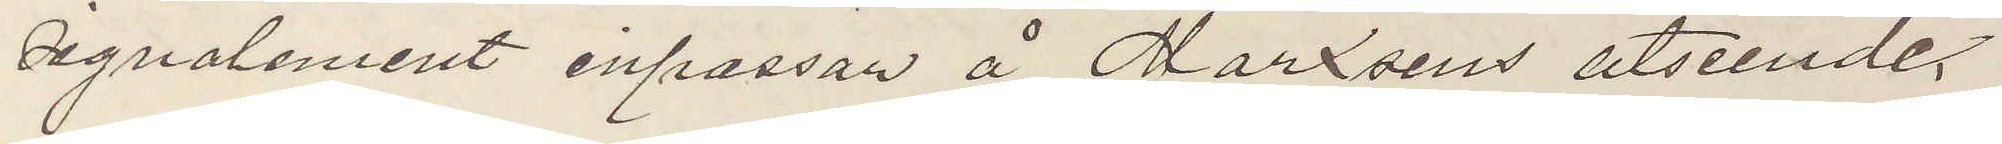signalement inpassar å Marxsens utseende.
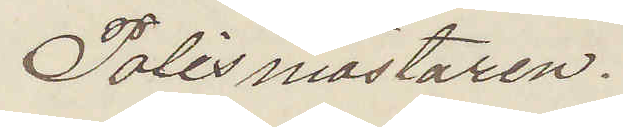Polismästaren.
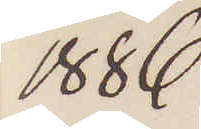1886
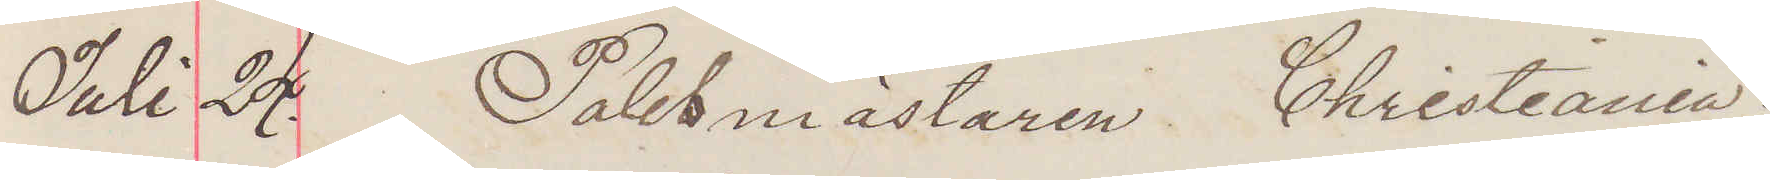Juli 24. Polismästaren Christiania.
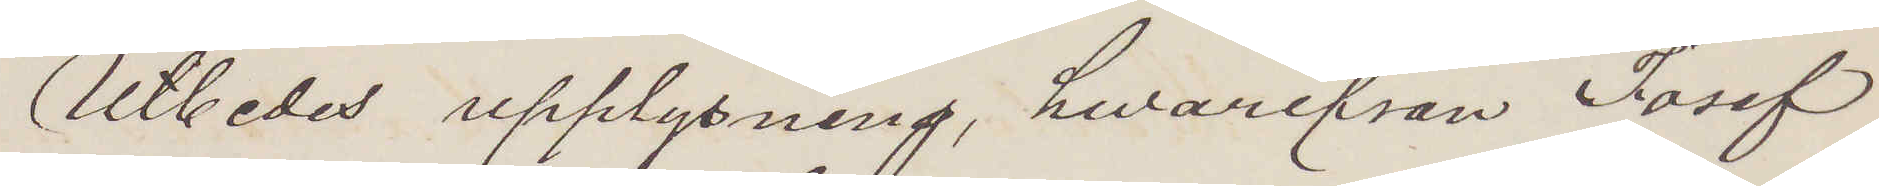Utbedes upplysning, hwarifrån Josef
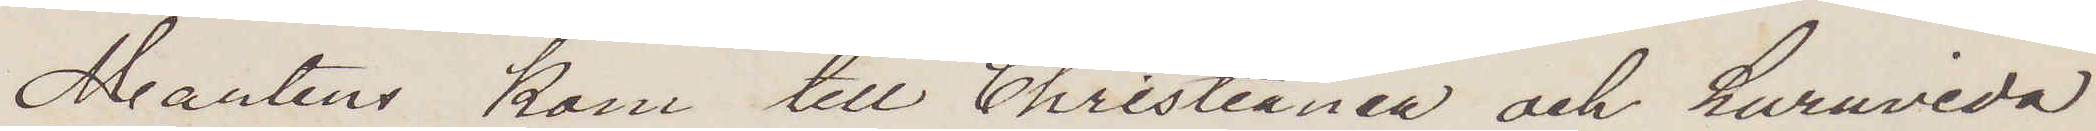Martens kom till Christiania och huruvida
